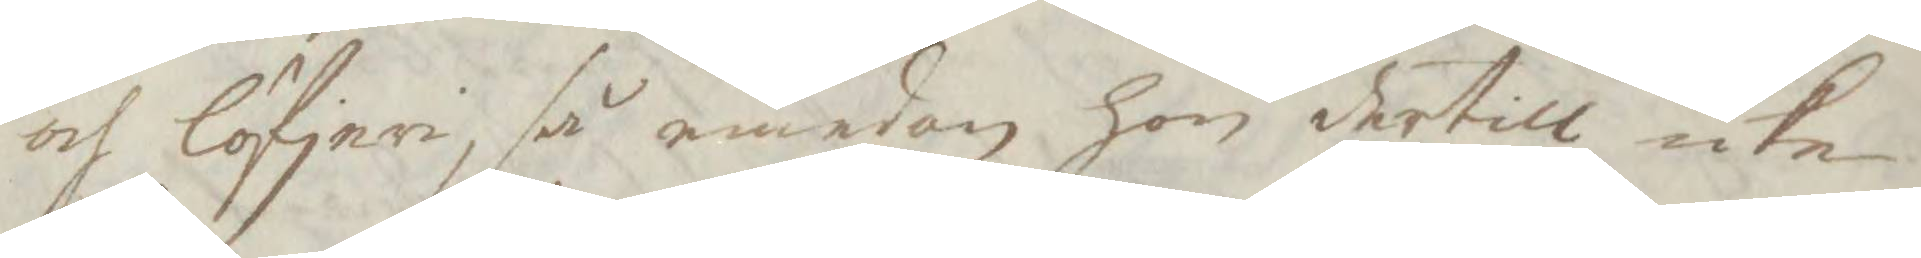och löfjeri, så emedan hon dertill icke
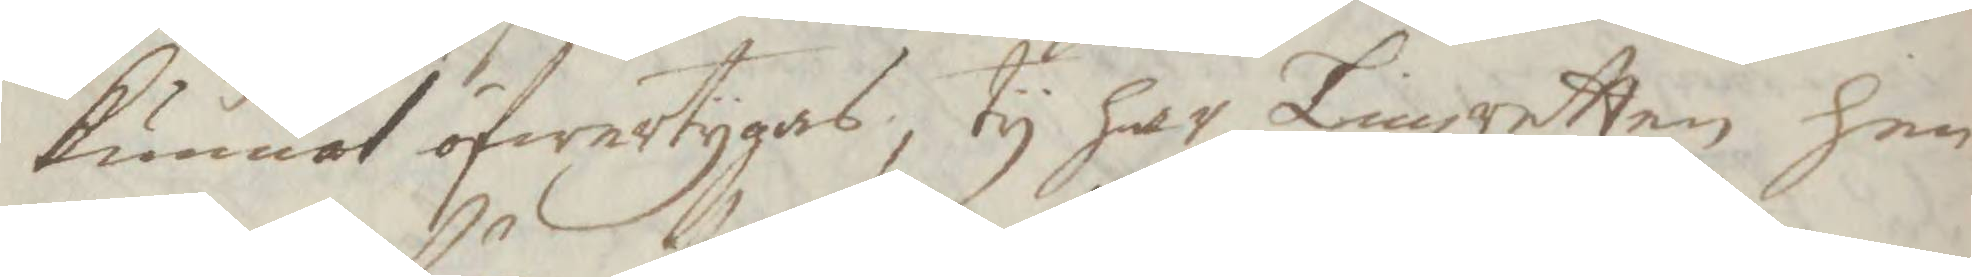kunnat öfwertygas, Ty har Tingzretten hen¬
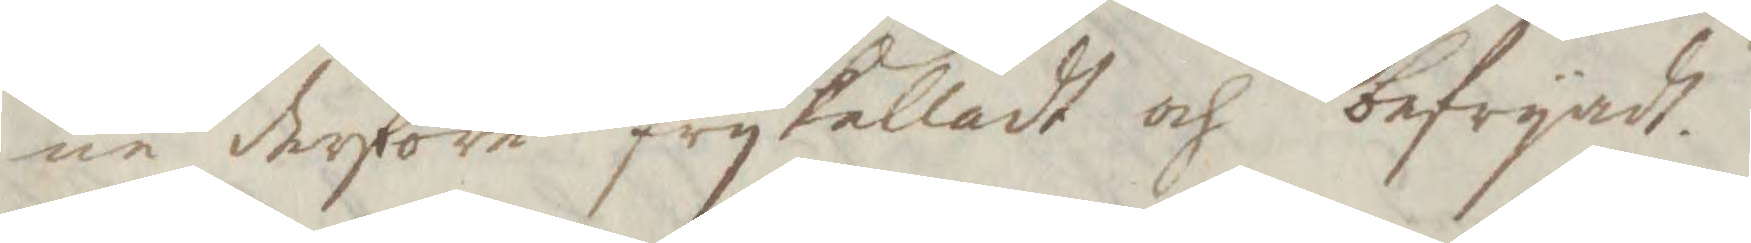ne derföre frykalladt och befryadt.
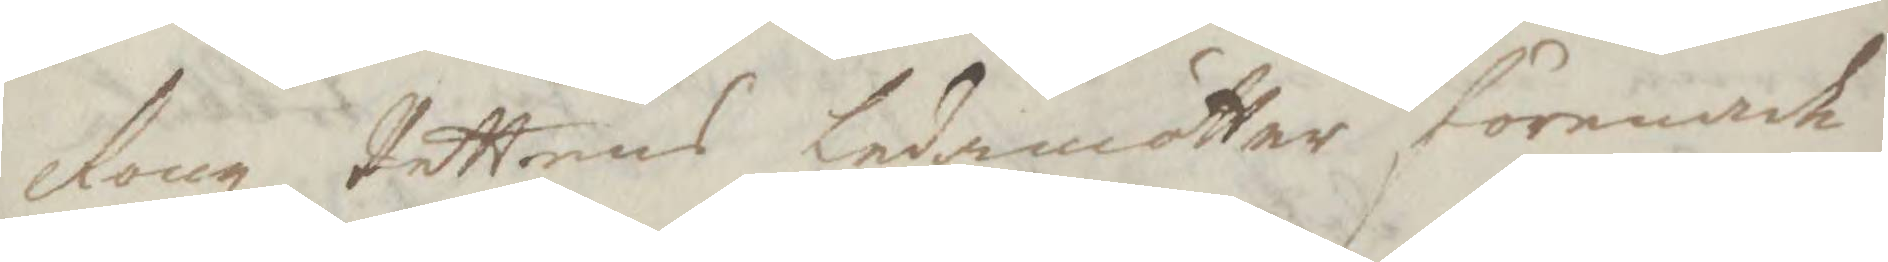Kongl Rettens ledamötter förenade
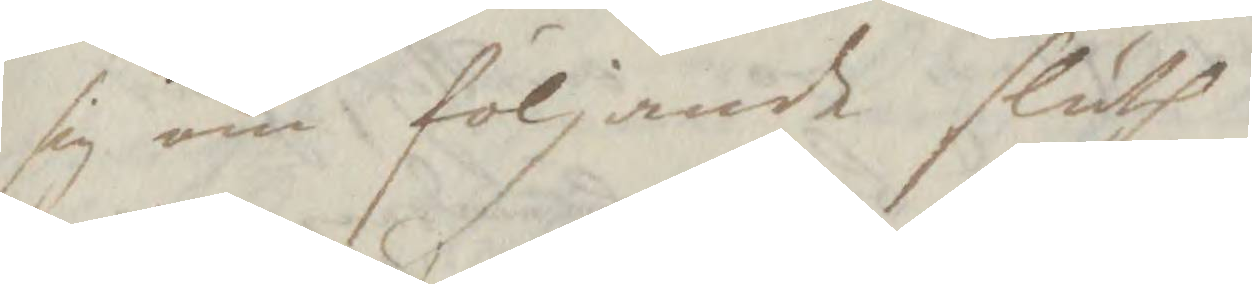sig om följande sluth.
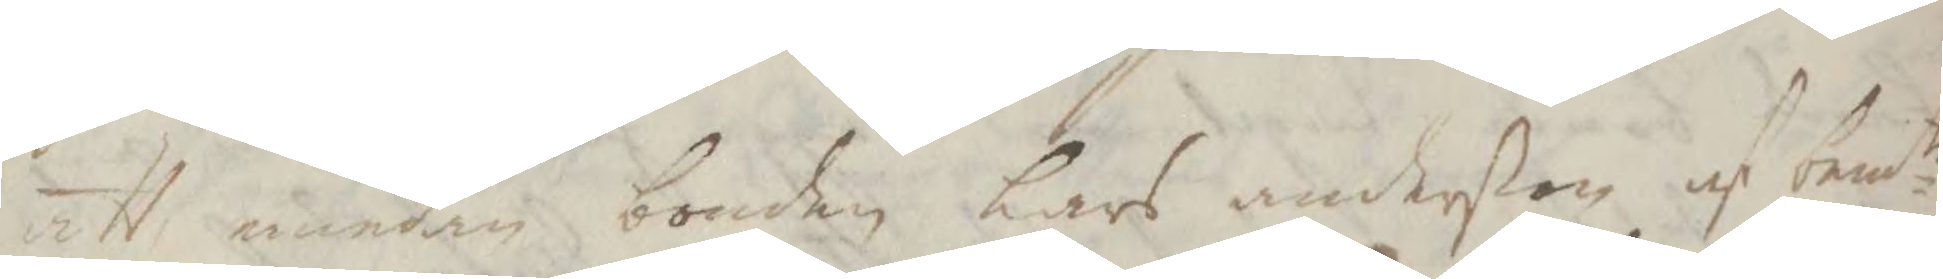att emedan bonden Lars anderßon af bemte
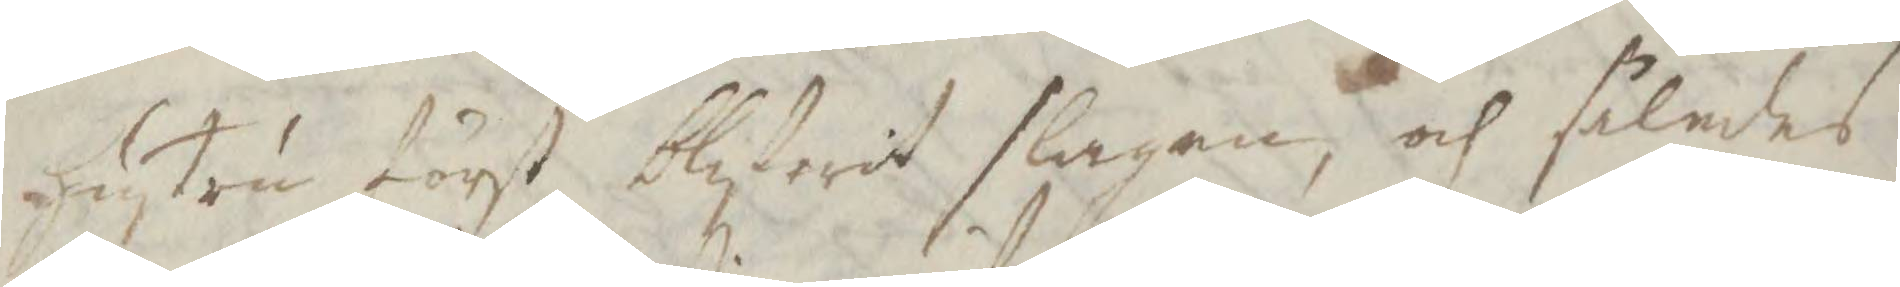hustru först blifwit slagen, och således
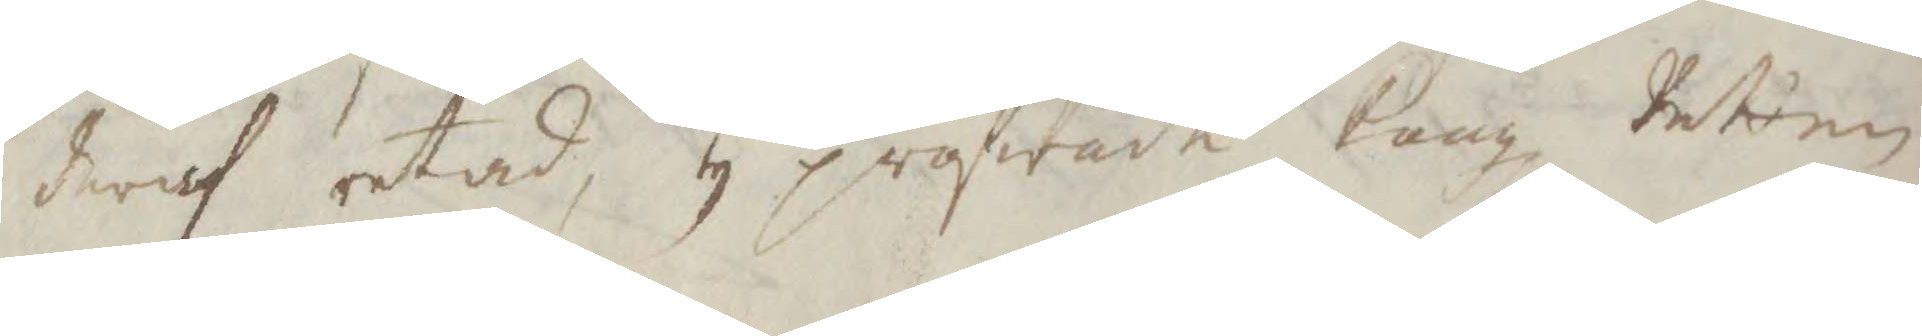deraf retad, ty pröfwade Kongl Retten
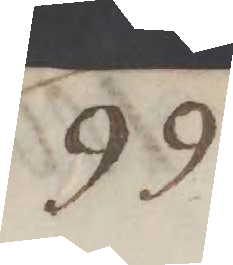99
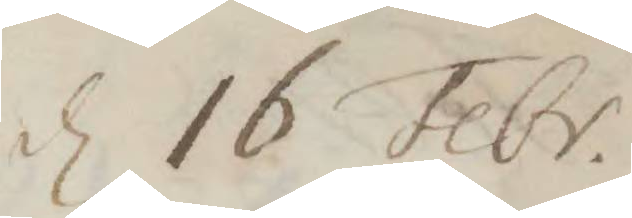d 16 Febr.
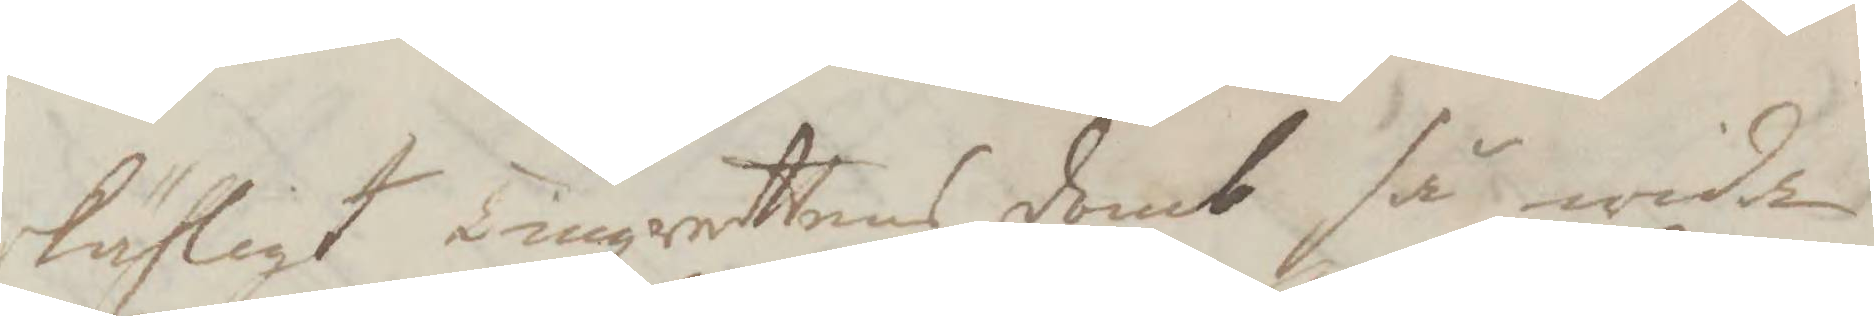skähligt Tingzrettens domb så wida
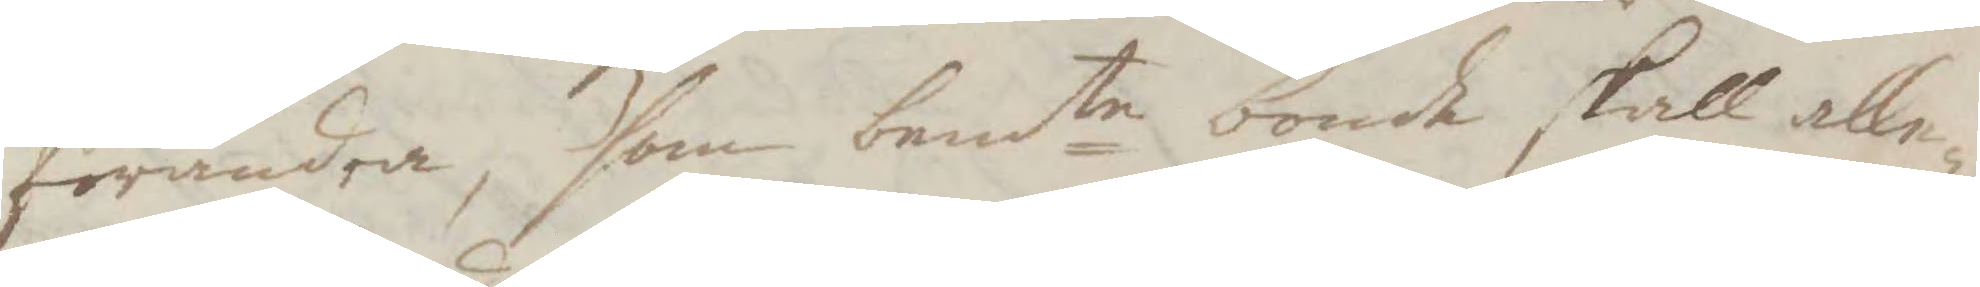förändra, som bemte bonde skall alle¬
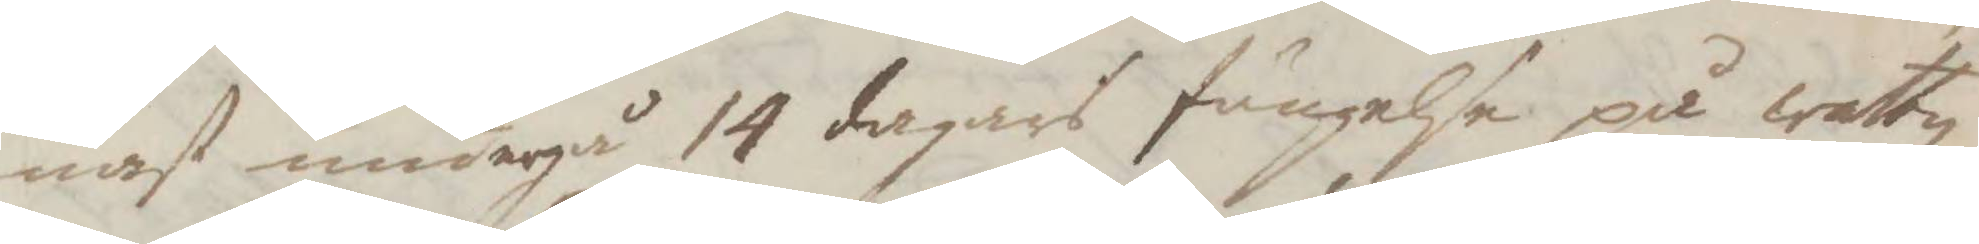nast undergå 14 dagars fängelse på wattn
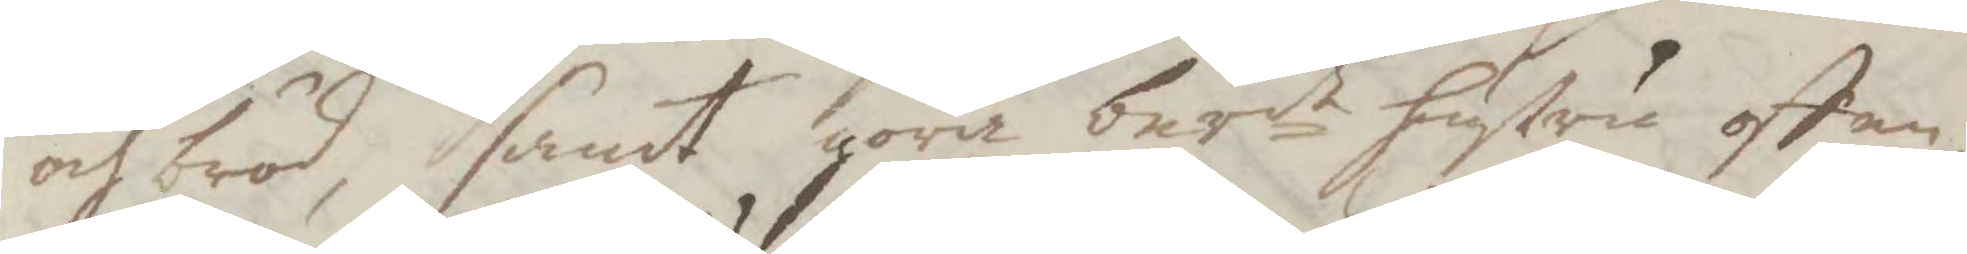och bröd, samt göra berde hustru offen¬
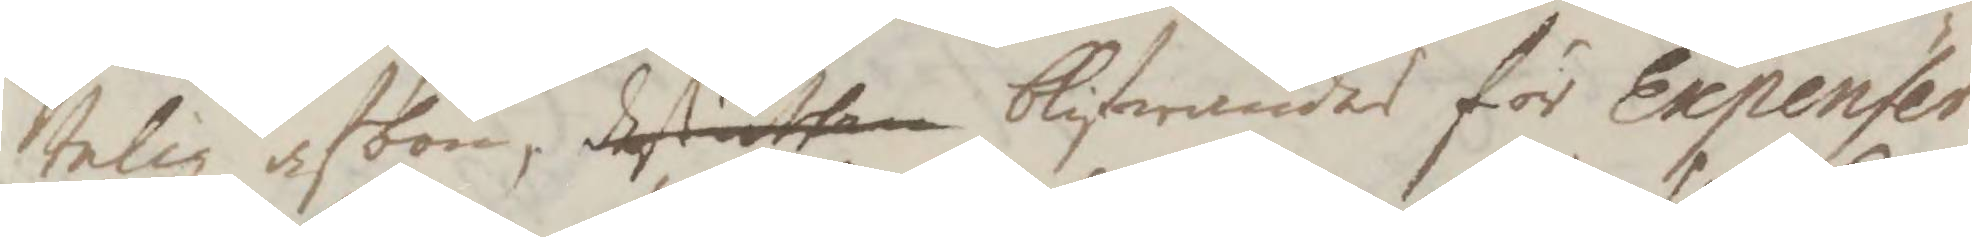telig afbön, desuthan blifwandes för Expenser
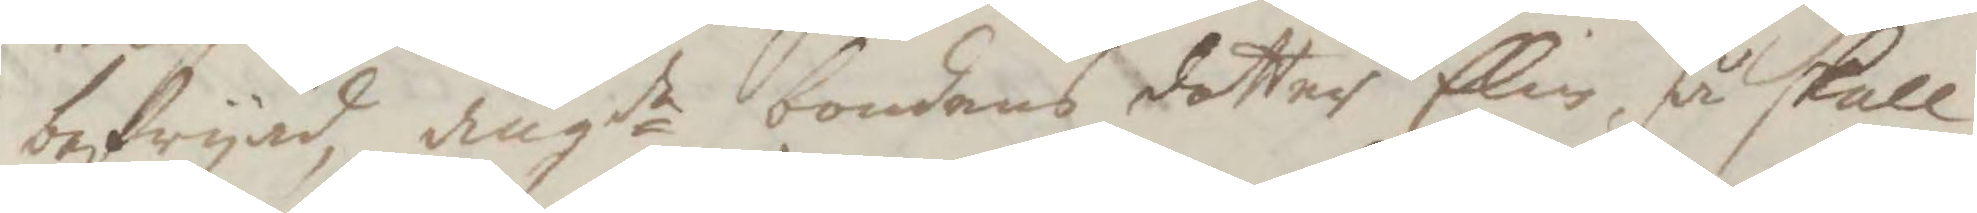befryad, angde bondens dotter Elin, så skall
